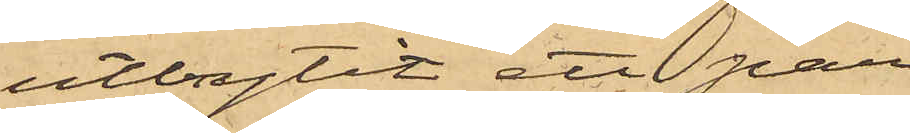utbrytit ett par
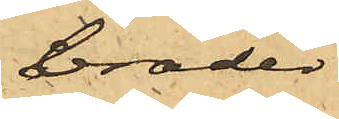bräder
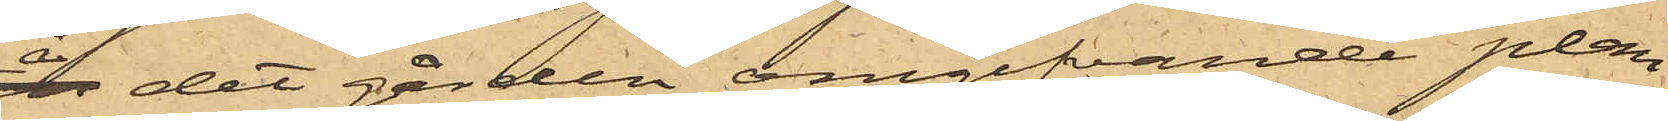å det gården omgifvande plan¬
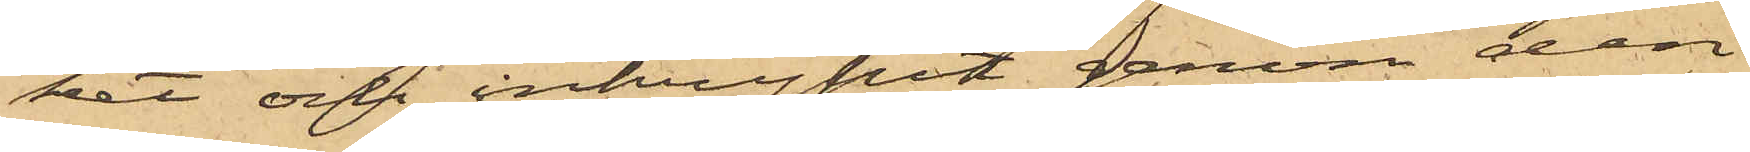ket och inkrypit genom den
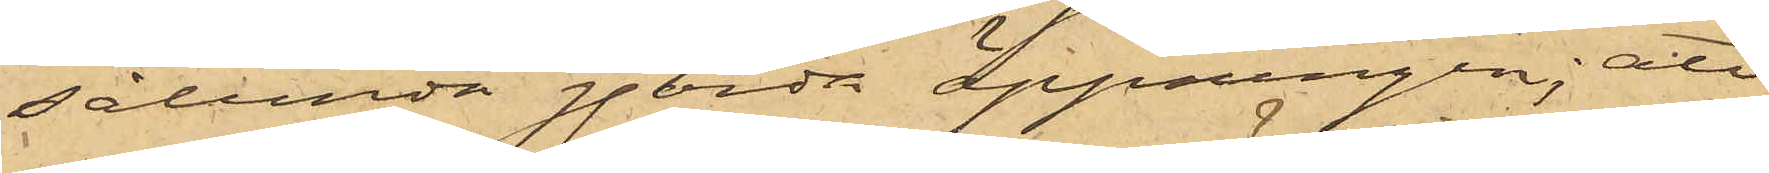sålunda gjorda öppningen; att
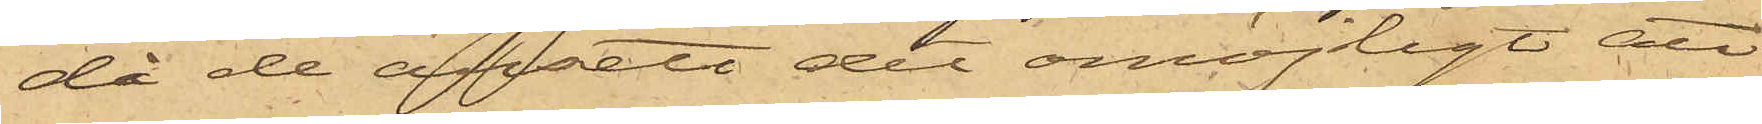då de ansett det omöjligt att
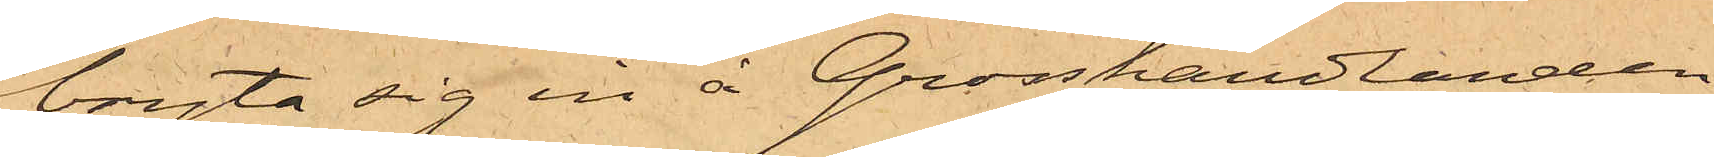bryta sig in å Grosshandlanden
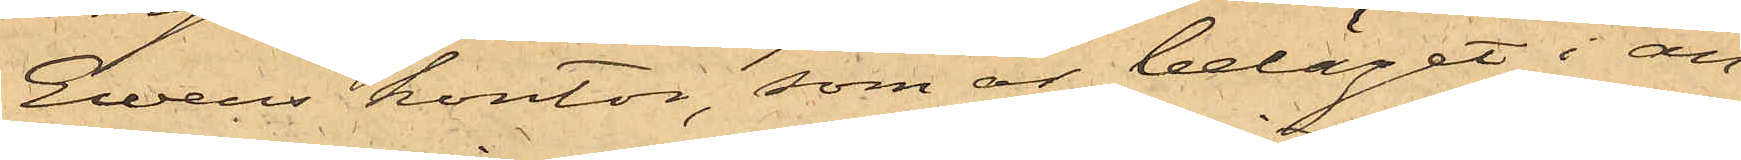Ewers kontor, som är beläget i an¬
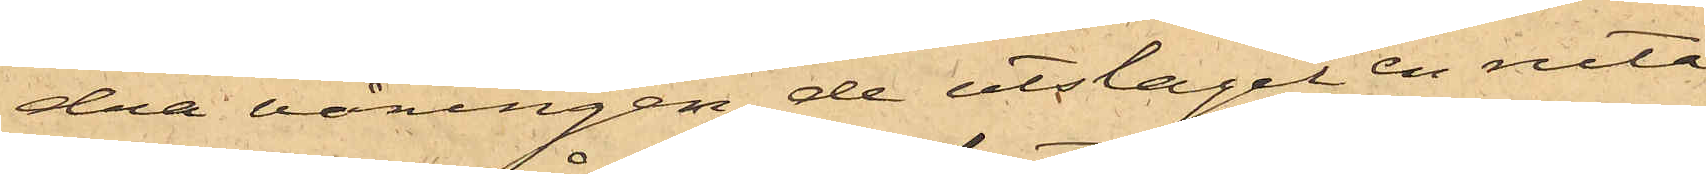dra våningen, de utslagit en ruta
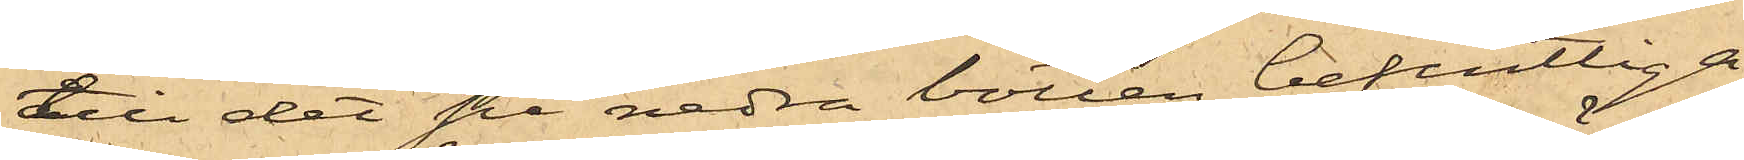till det på nedra botten befintliga
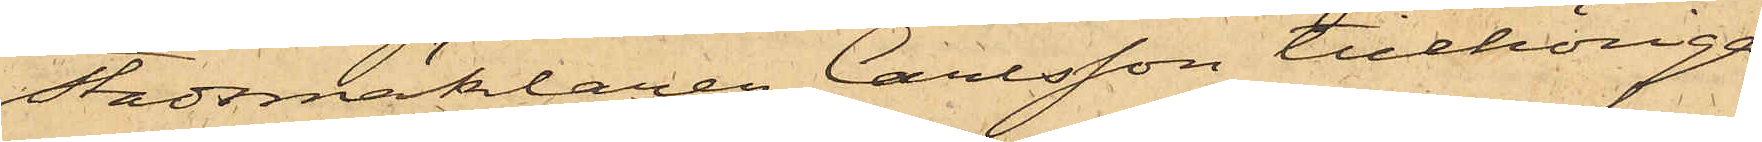Stadsmäklaren Carlsson tillhöriga
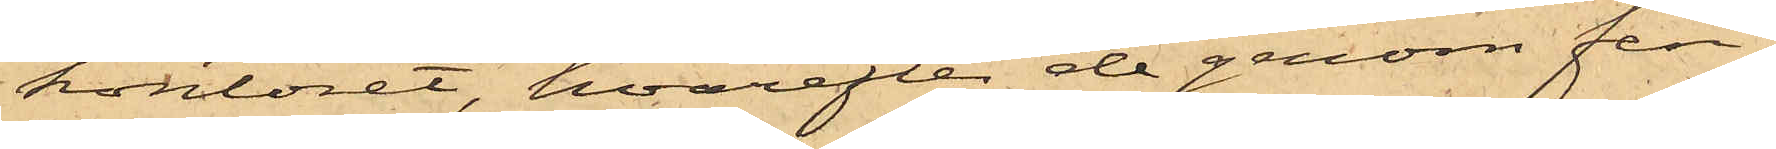kontoret, hvarefter de genom fen¬
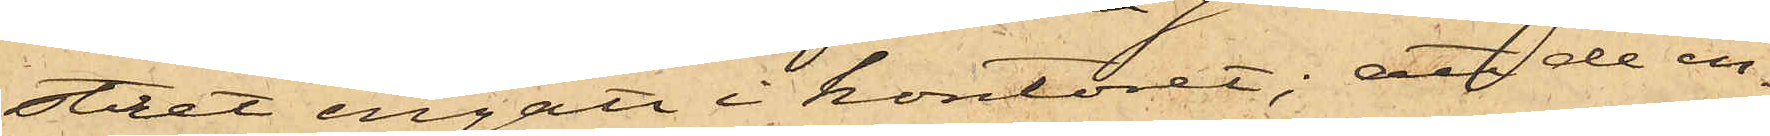stret ingått i kontoret; att de in¬
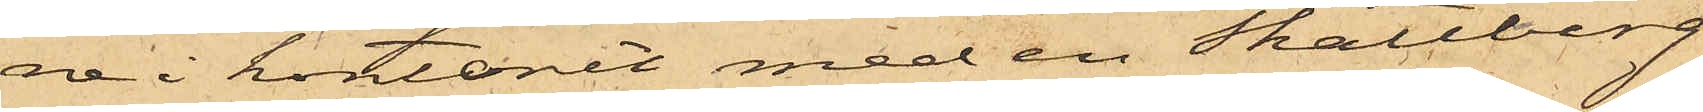ne i kontoret med en Skattberg
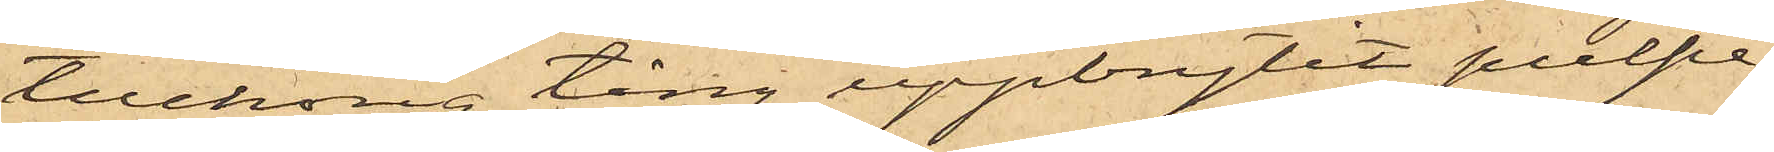tillhörig tång uppbrytit pulpe¬
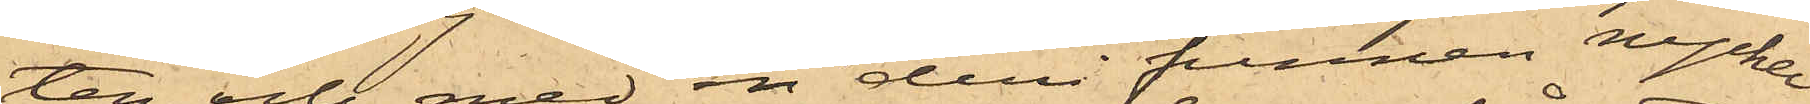ten och med en deri funnen nyckel
